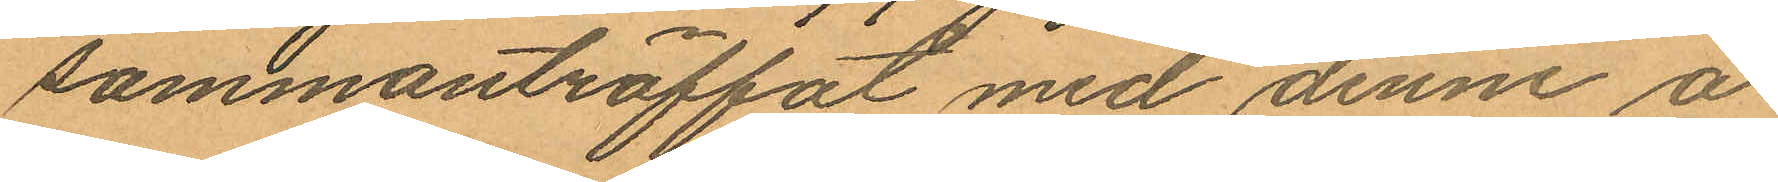sammanträffat med denne å
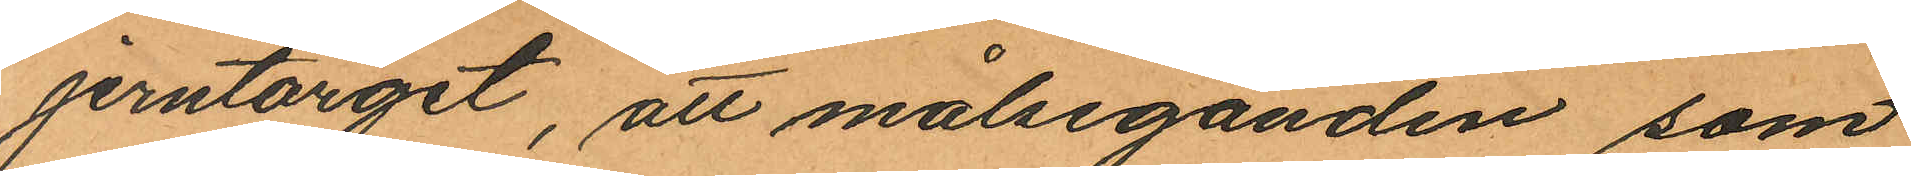jerntorget, att målseganden som
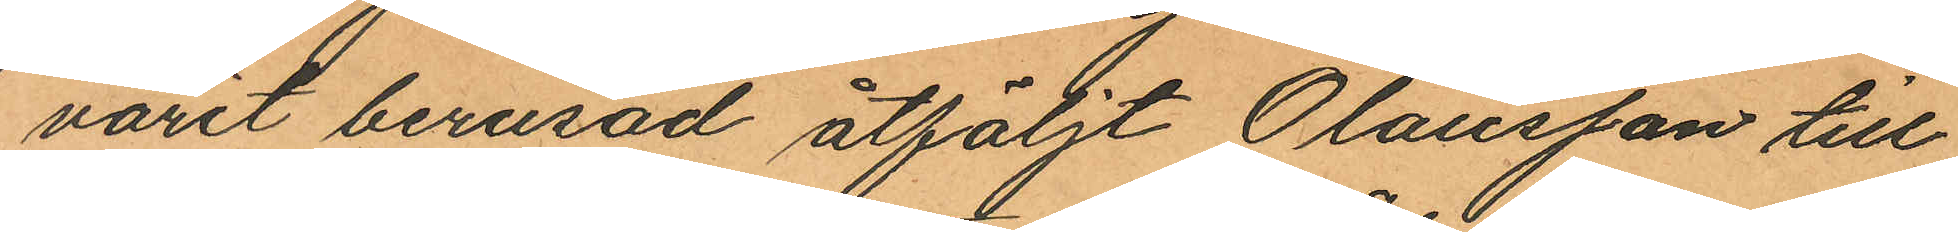varit berusad åtföljt Olausson till
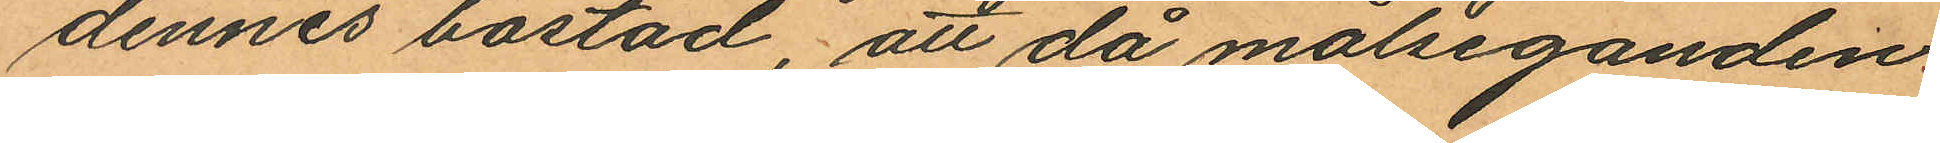dennes bostad att då målseganden
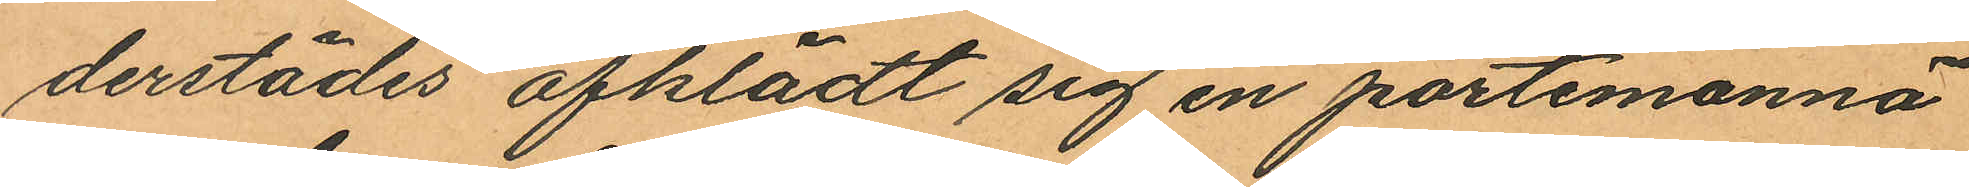derstädes afklädt sig en portemonnä
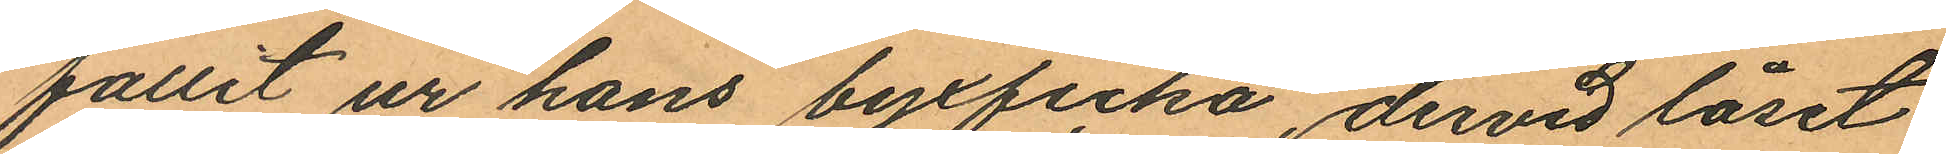fallit ur hans byxficka, dervid låset
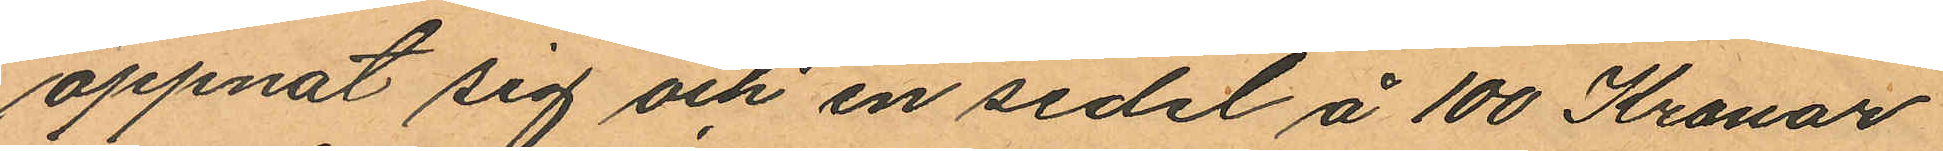öppnat sig och en sedel å 100 Kronor
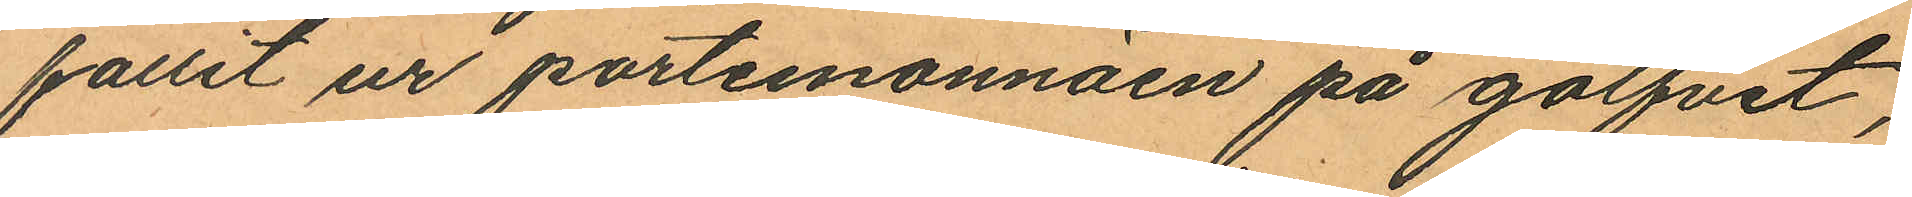fallit ur portemonnäen på golfvet,
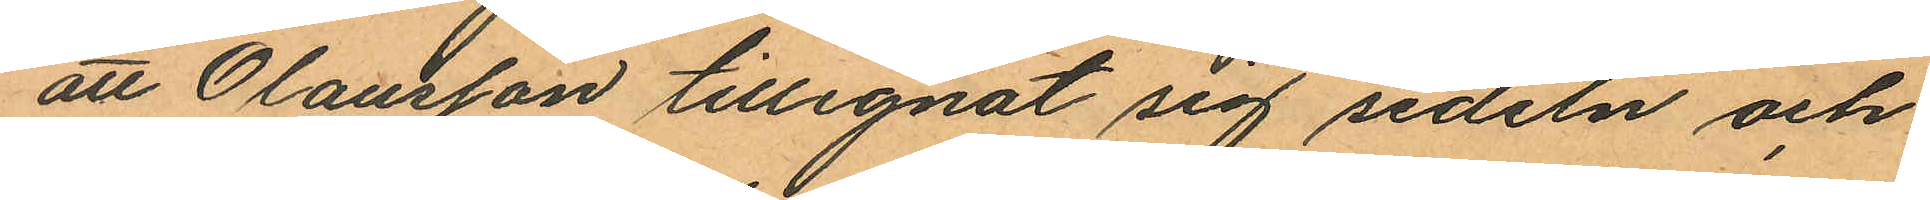att Olausson tillegnat sig sedeln och
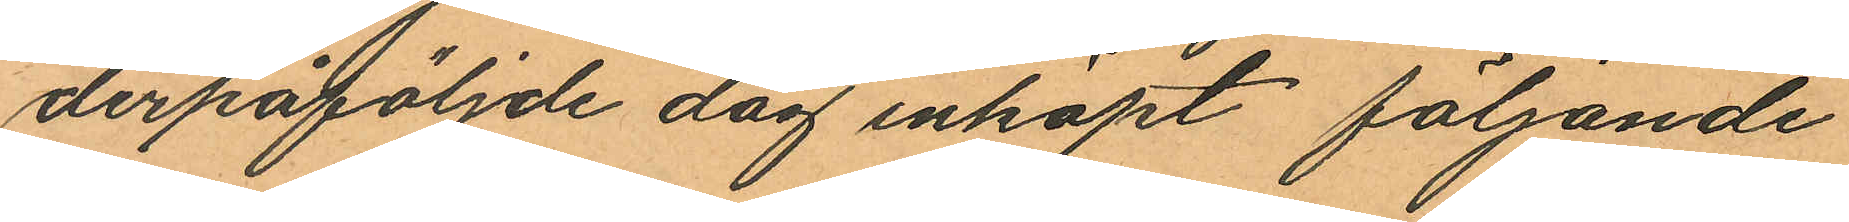derpåföljde dag inköpt följande
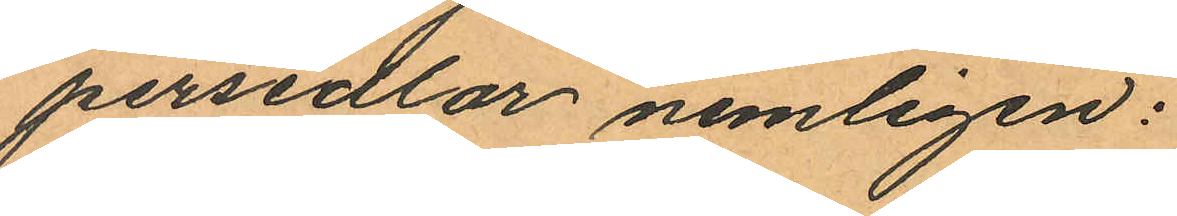persedlar nemligen:
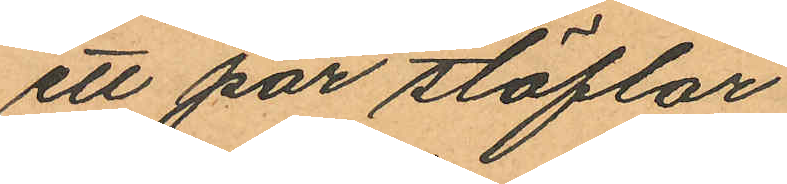ett par stöflar
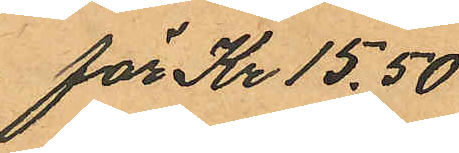för Kr. 15,50
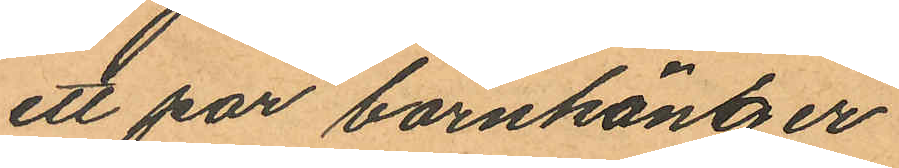ett par barnkänger
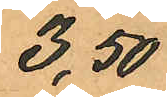3,50
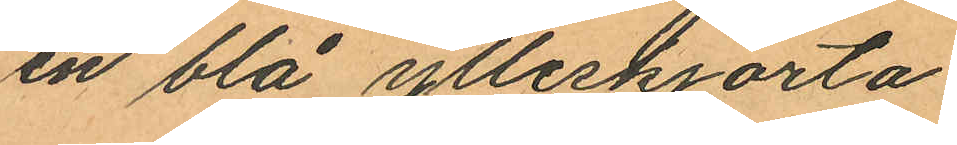en blå ylleskjorta
